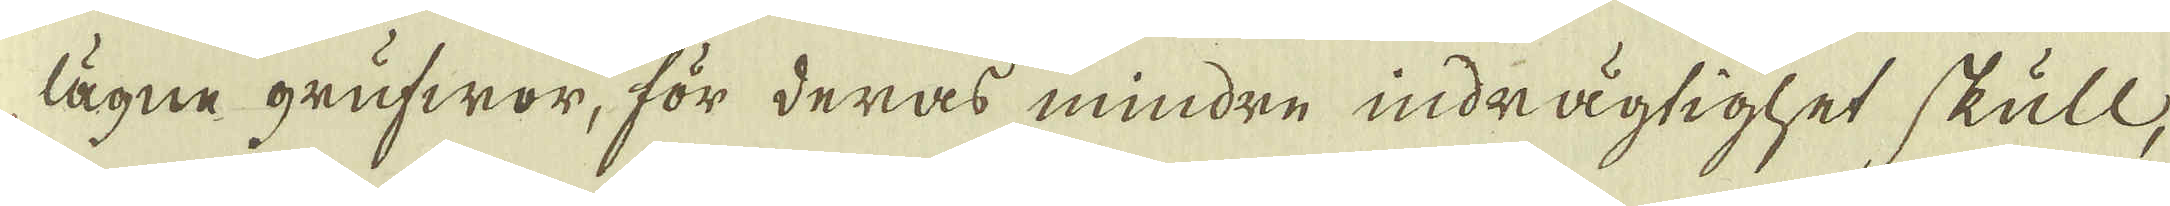lägne grufwor, för deras mindre indrägtighet skull,
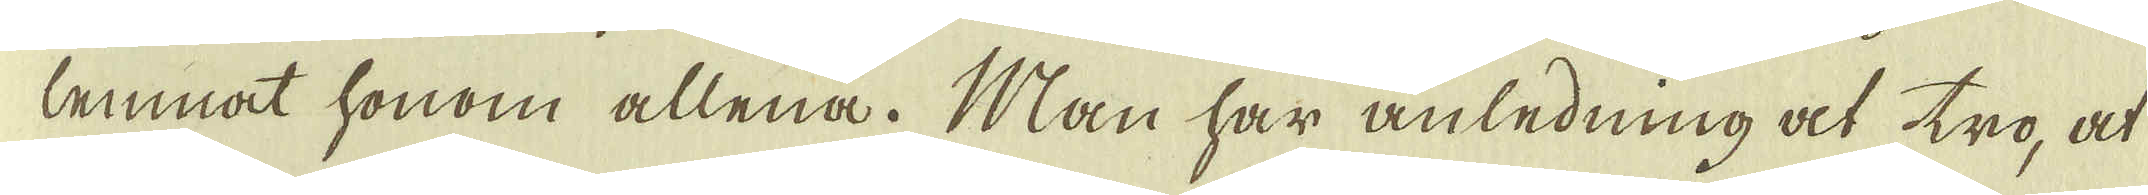lemnat honom allena. Man har anledning at tro, at
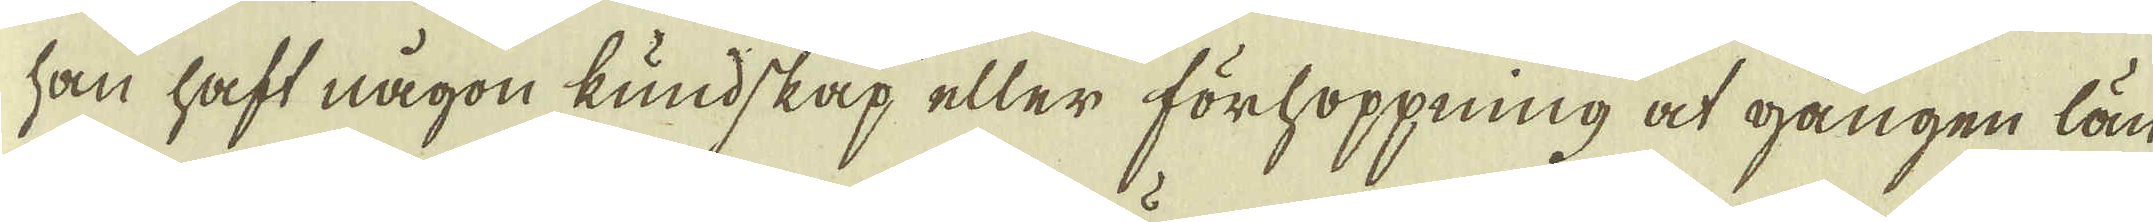han haft någon kundskap eller förhoppning at gången län-
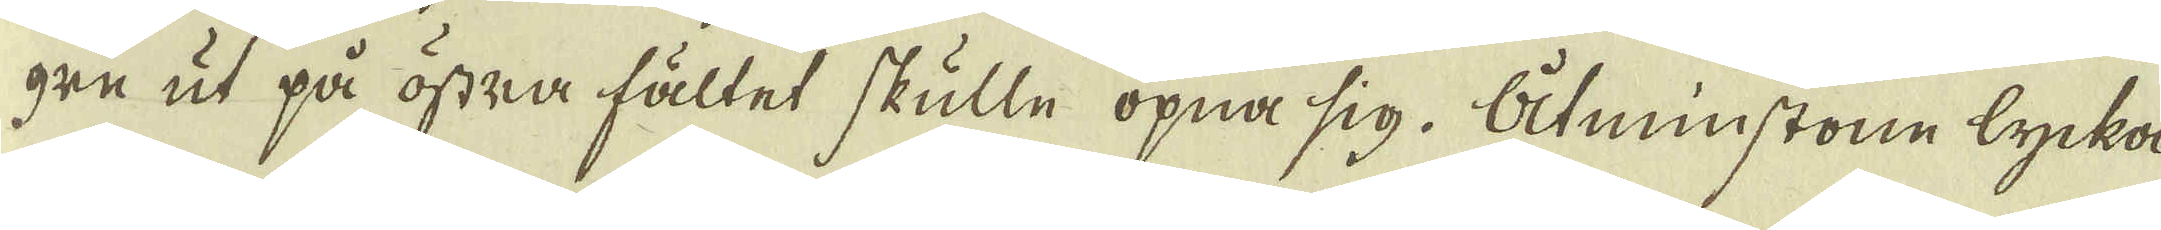gre ut på östra fältet skulle öpna sig. Åtminstone lycka-
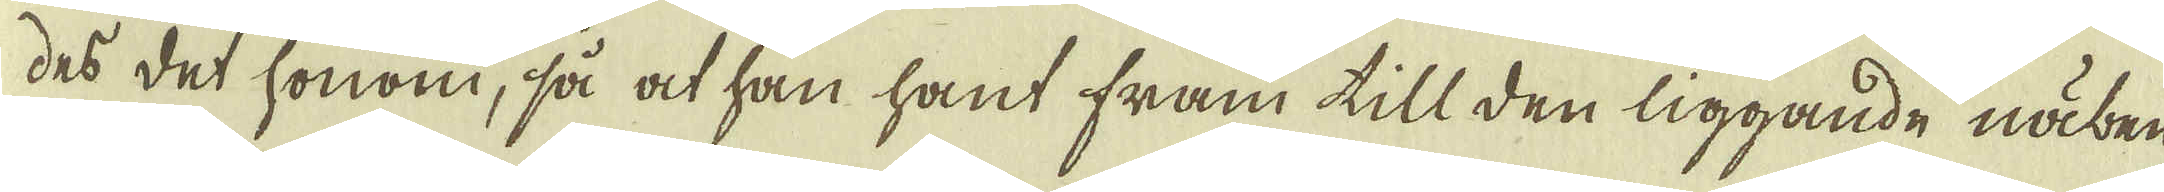des det honom, så at han hant fram till den liggande näben-
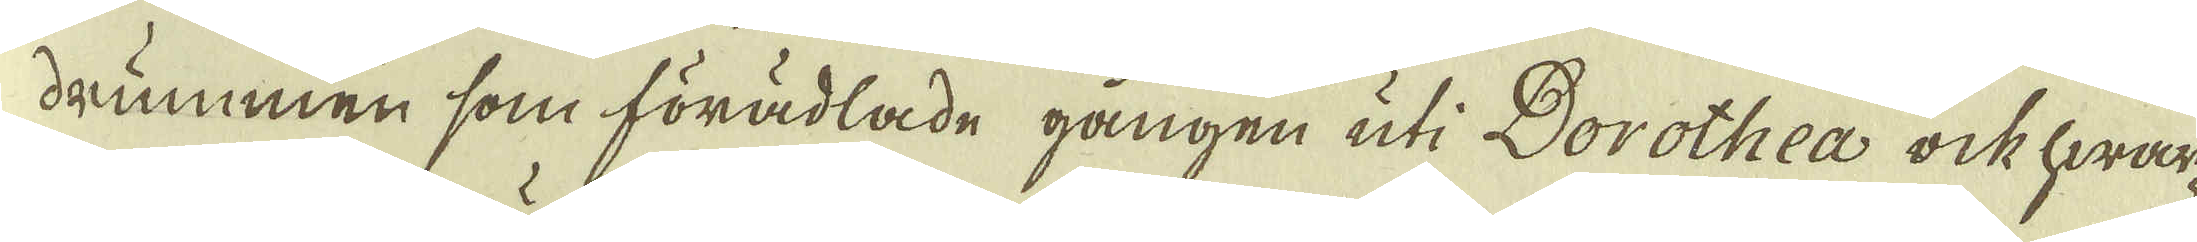drummen som förädlade gången uti Dorothea ock hwar-
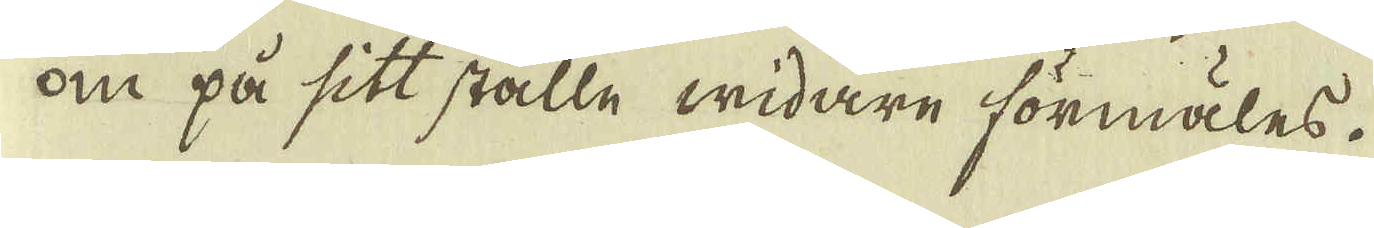om på sitt ställe widare förmäles.
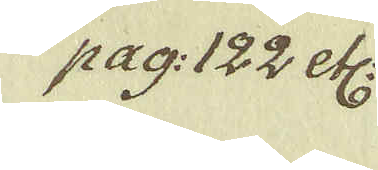pag: 122 etc:
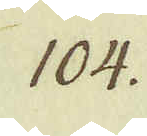104.
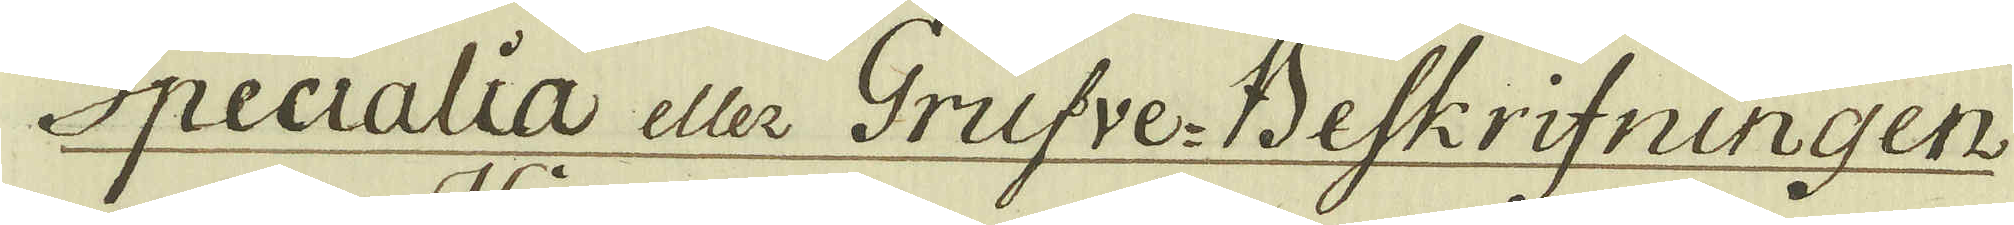Specialia eller Grufve-Beskrifningen
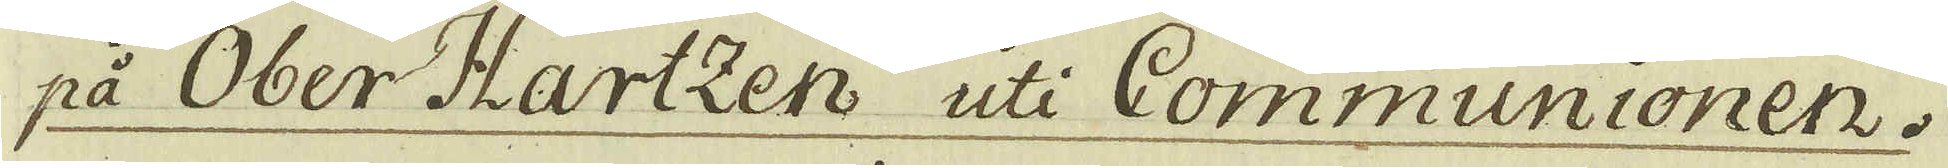på Ober-Hartzen uti Communionen.
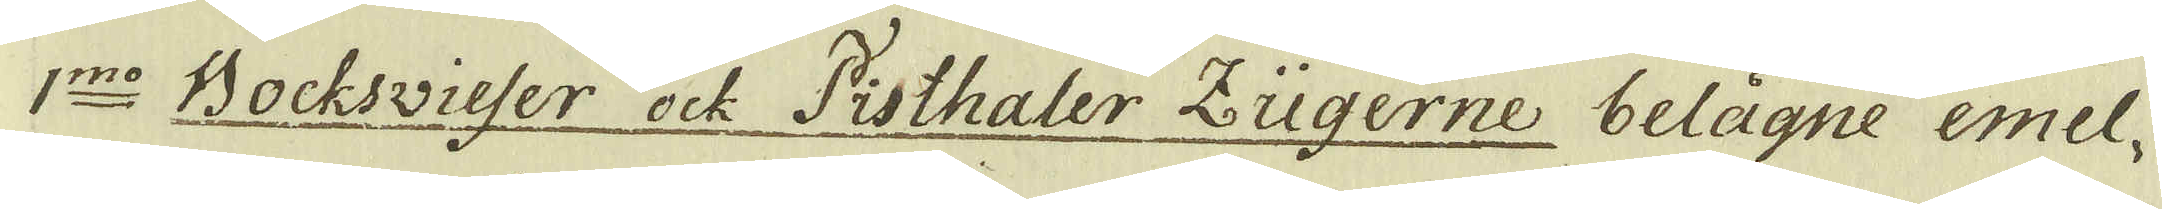1:mo Bochsvieser ock Pisthaler Zügerne belägne emel-
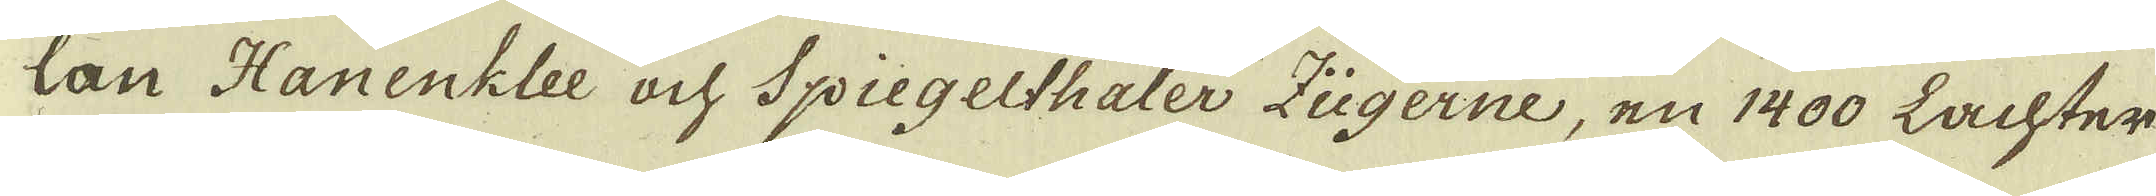lan Hanenklee och Spiegelthaler Zügerne, en 1400 Lachter
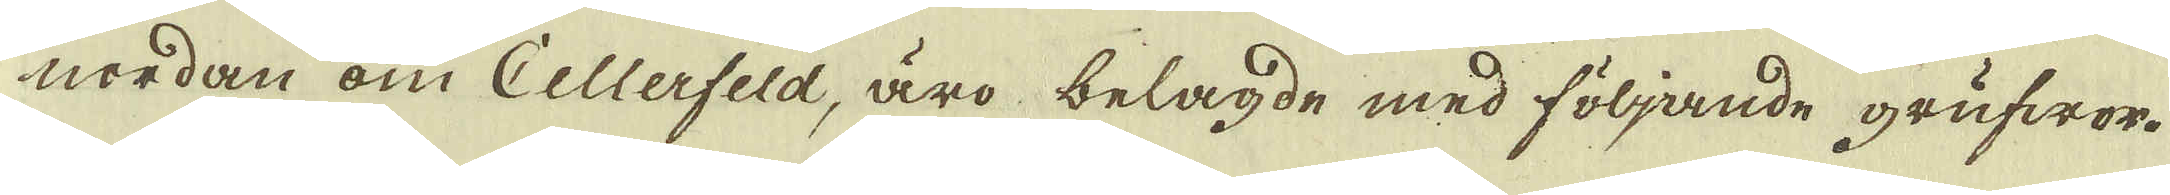nordan om Cellerfeld, äro belagde med följande grufwor.
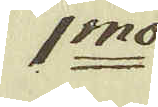1:mo
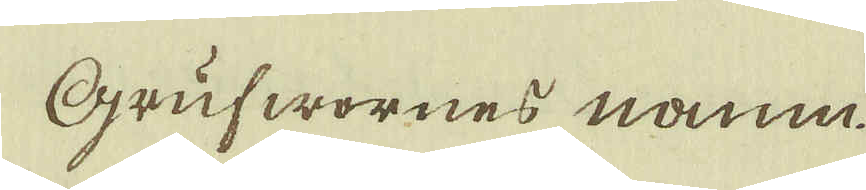Grufwornes namn
